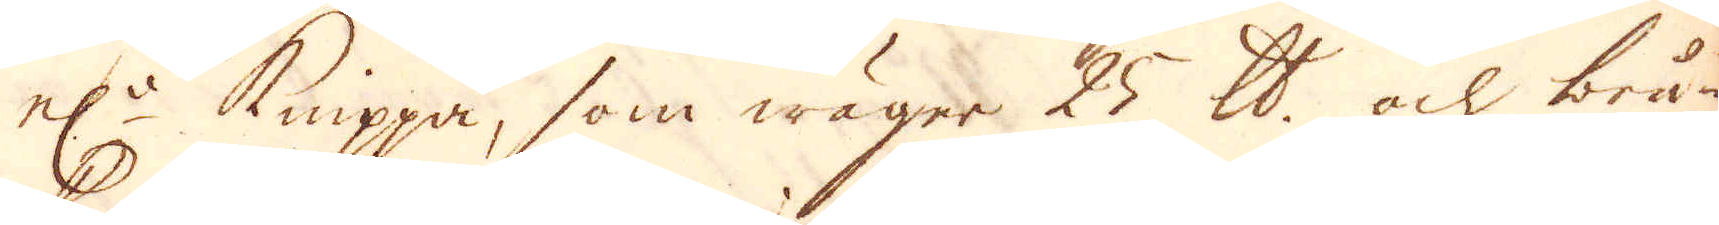el:r Knippa, som wäger 25 skålpund och bru-
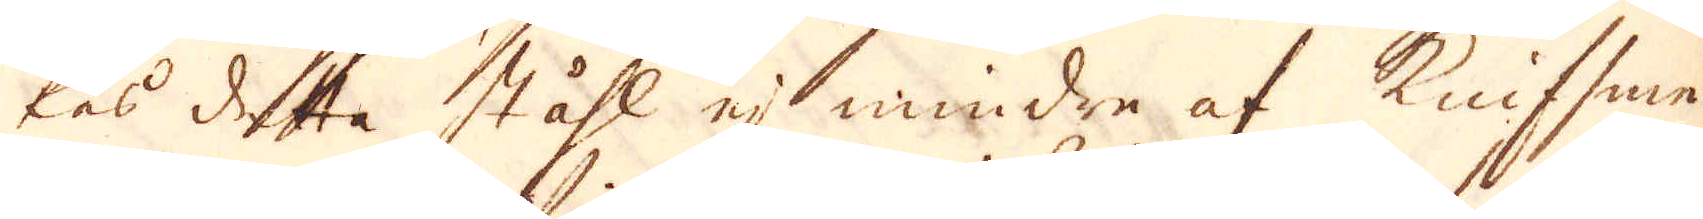kes detta ståhl ej mindre af Knifsme-
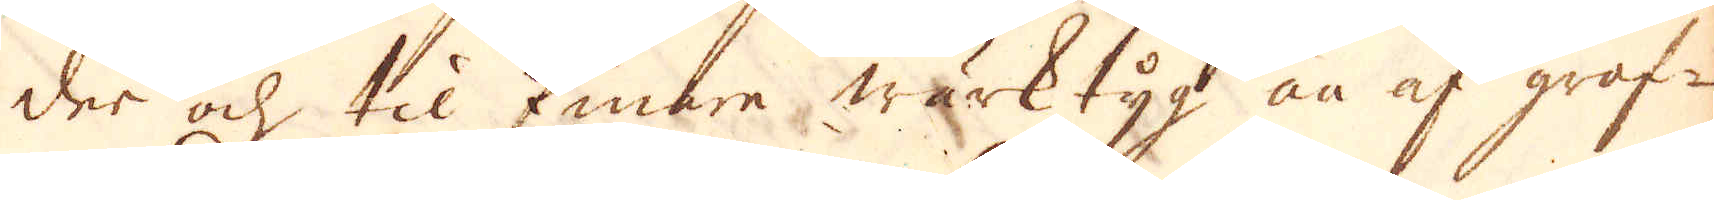der och til finare wärktyg än af grof-
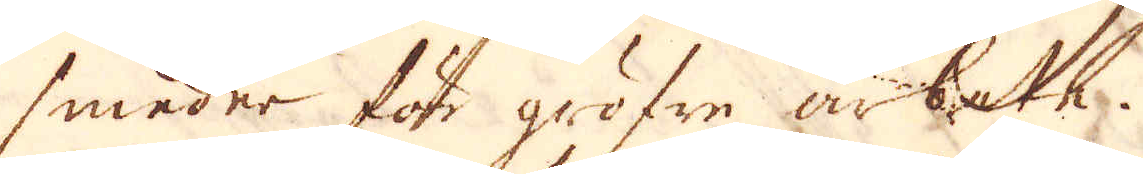smeder för gröfre arbete.
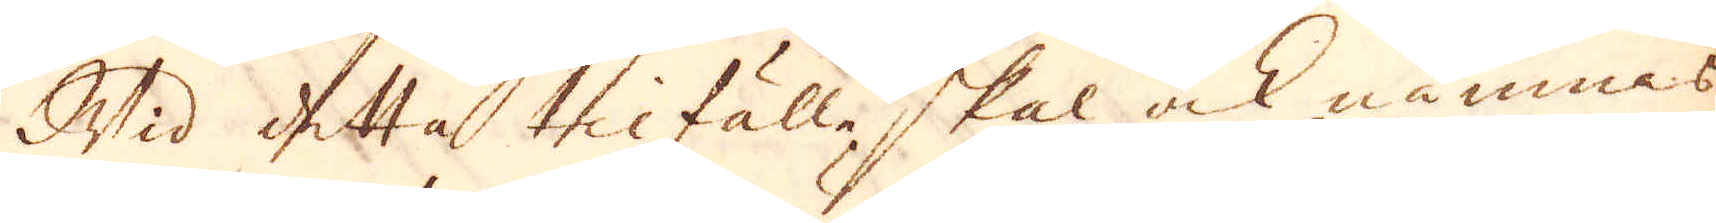Wid detta tilfälle skal ock nämnas
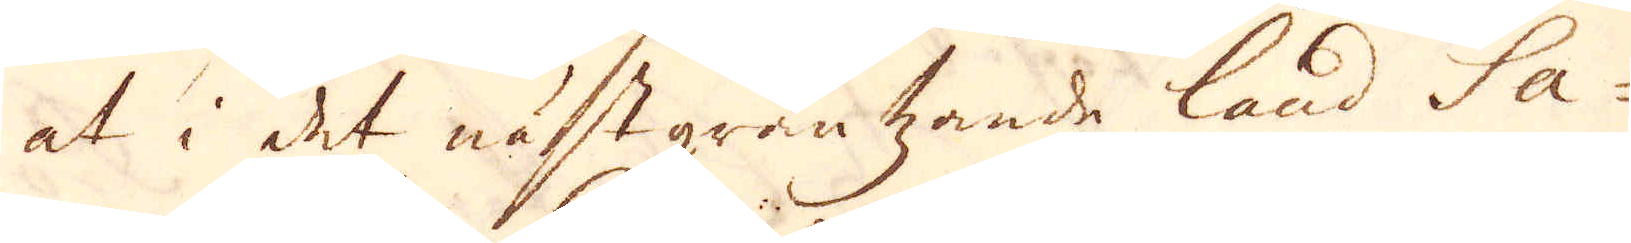at i det nästgräntzande land Sa-
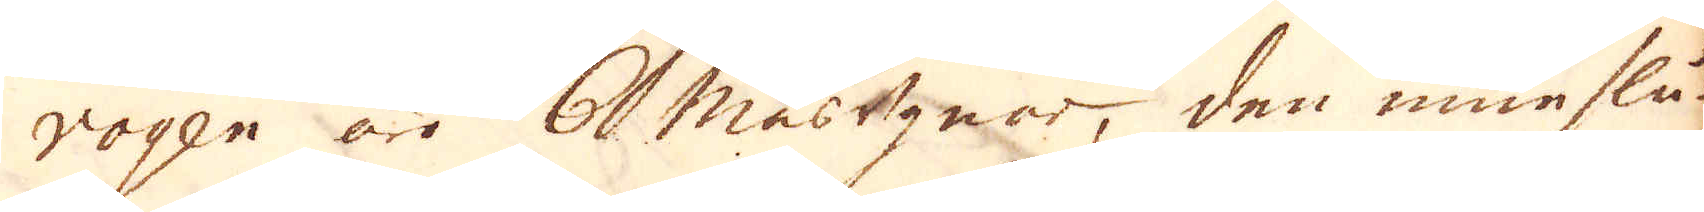voyen äro 6 Masugnar, den inneslu-
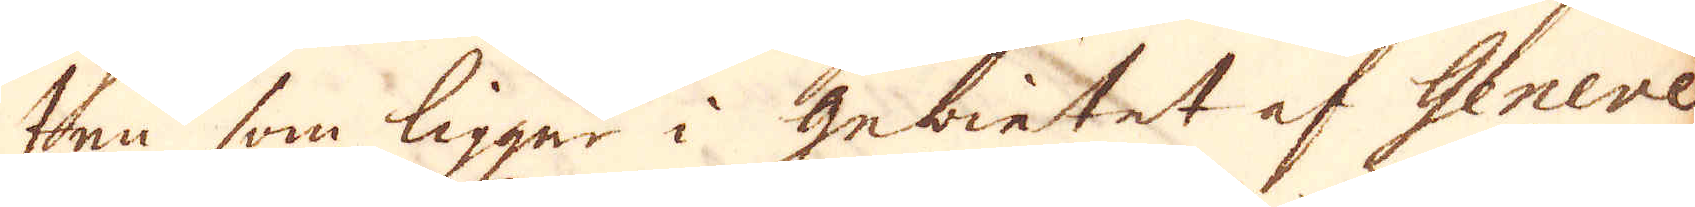ten som ligger i gebietet af Geneve
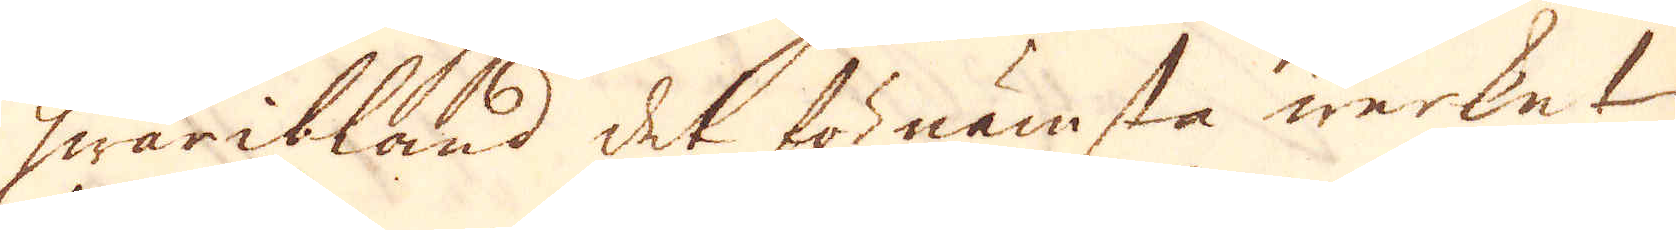hwaribland det förnämsta werket
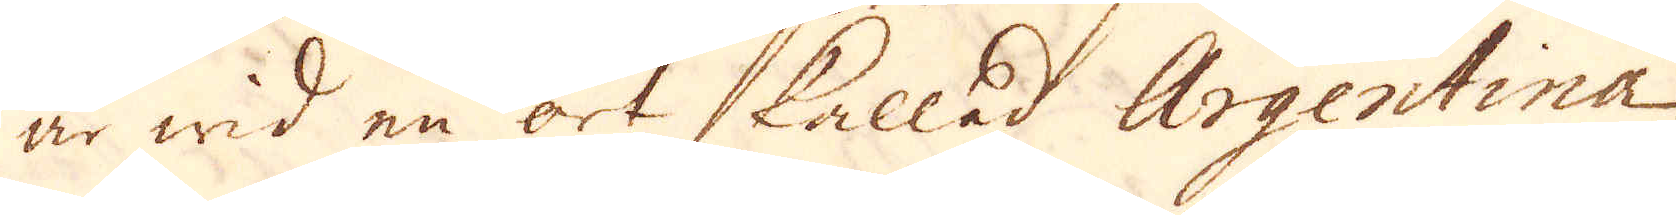är wid en ort kallad Argentina
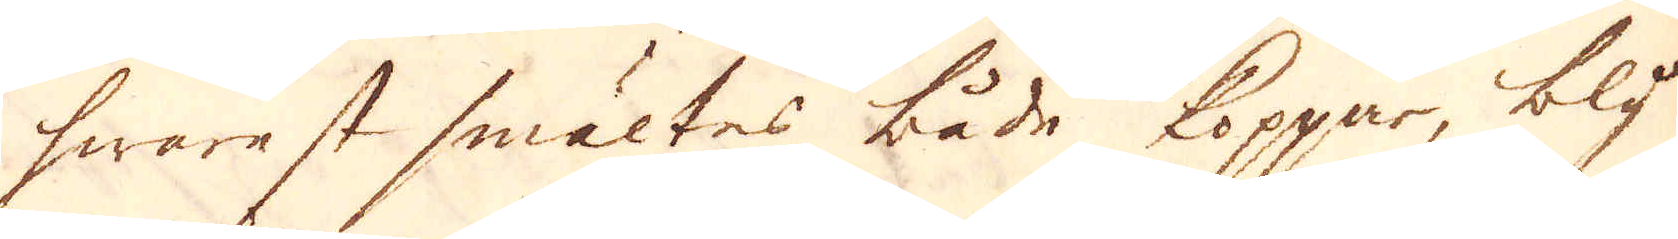hwarest smältes både Koppar, bly-
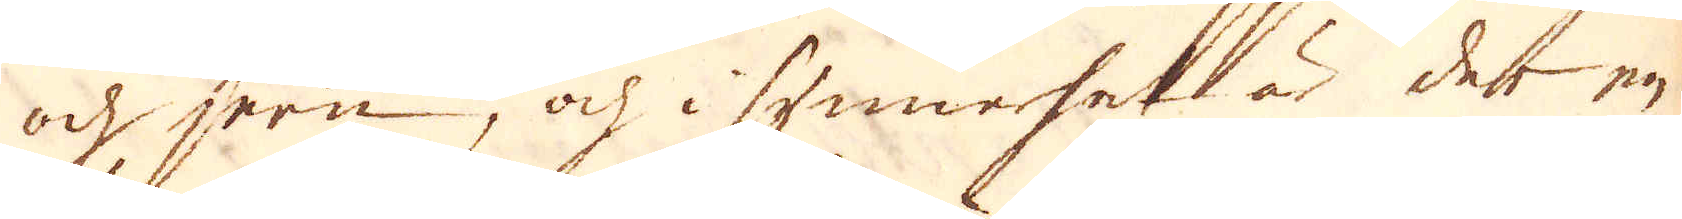och jern, och i synnerhet är det en
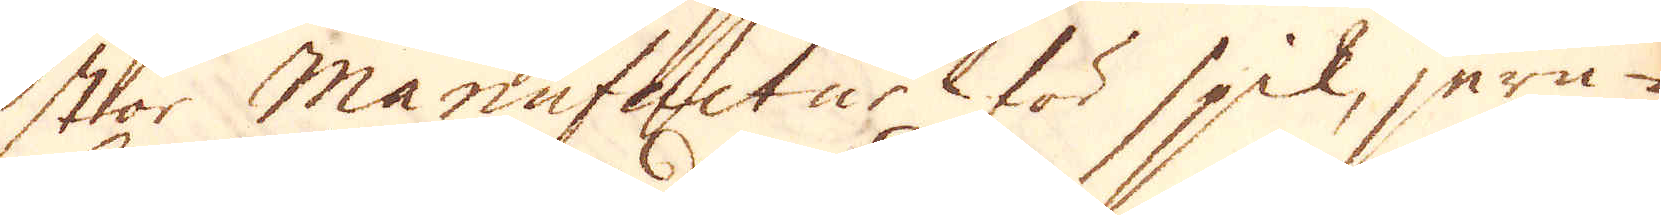stor Manufactur för spik, jern-
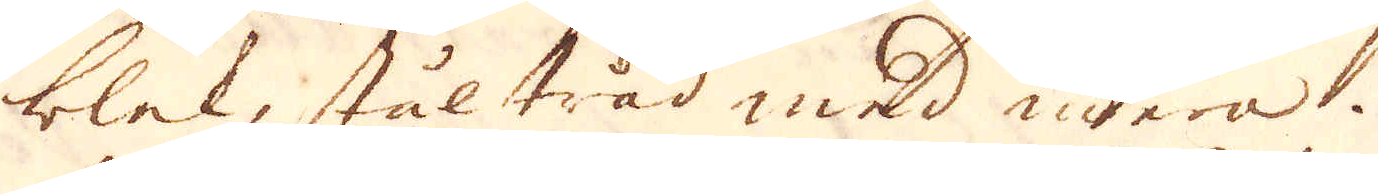blek, ståltråd med mera.
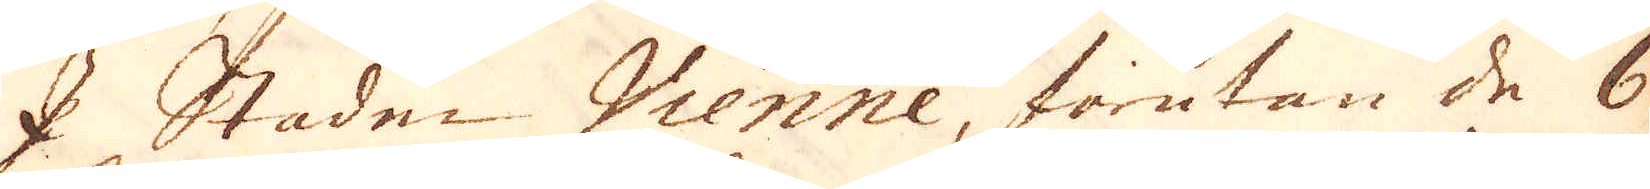I Staden Vienne, förutan de 6
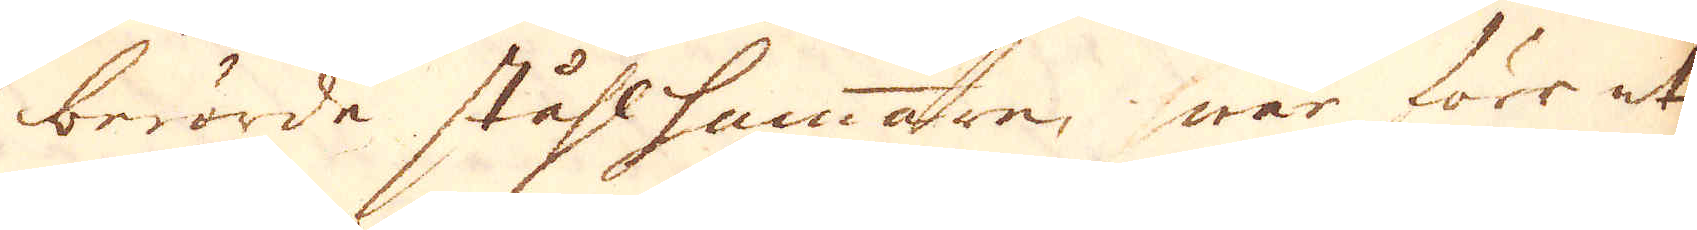berörde ståhlhammare, war förr et
